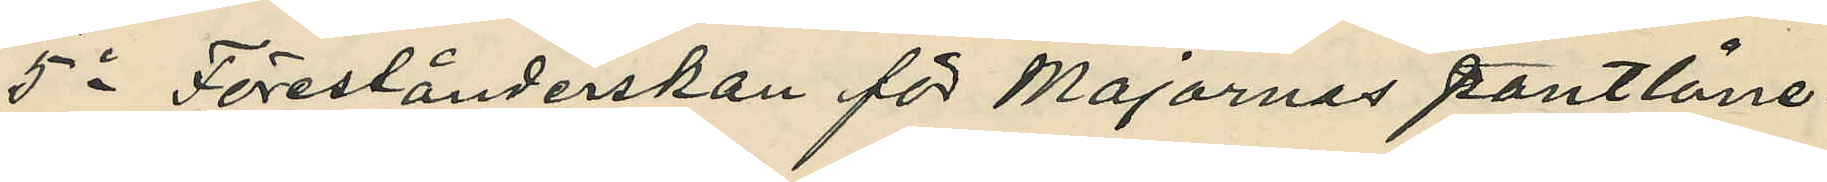5o Förestånderskan för Majornas pantlåne¬
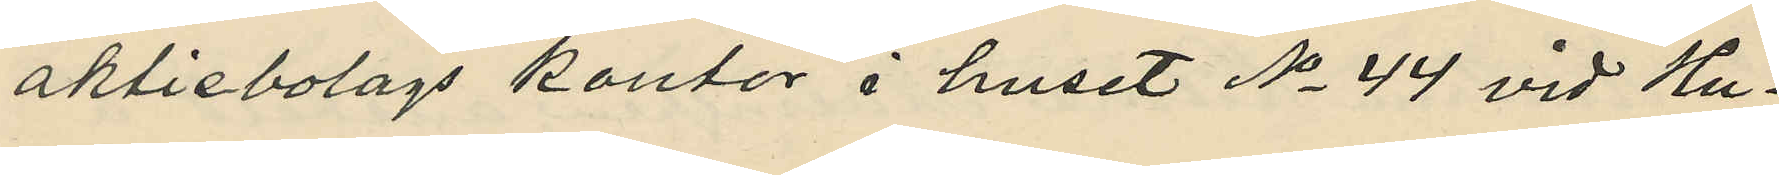aktiebolags kontor i huset No 44 vid Hu¬
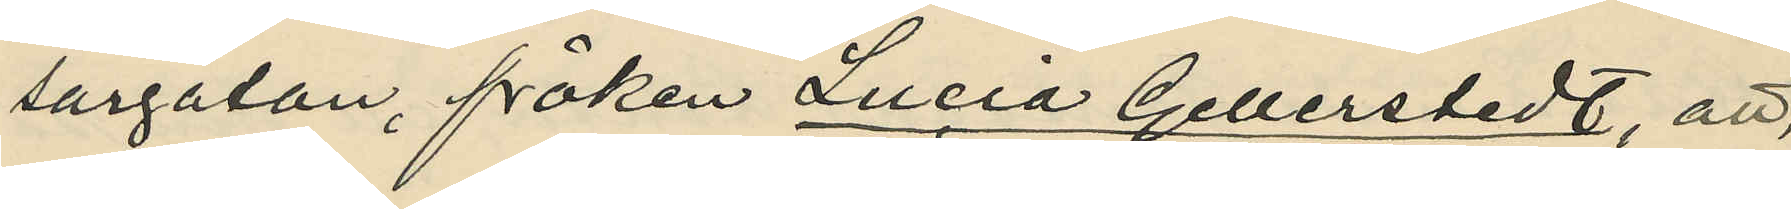sargatan, fröken Lucia Gellerstedt, att,
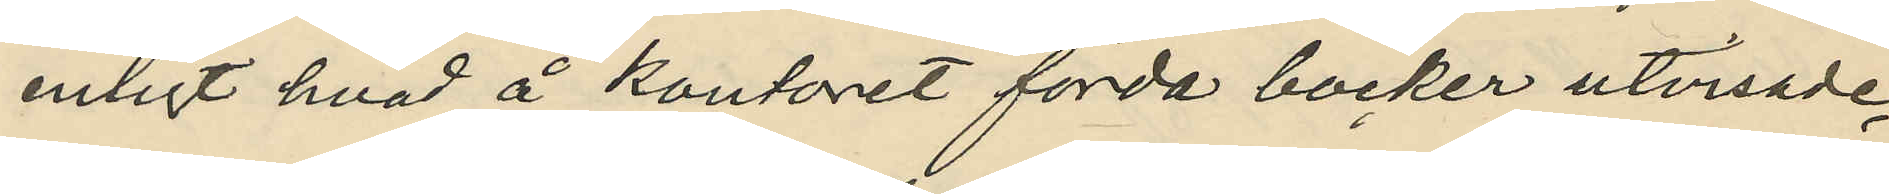enligt hvad å kontoret förda böcker utvisade
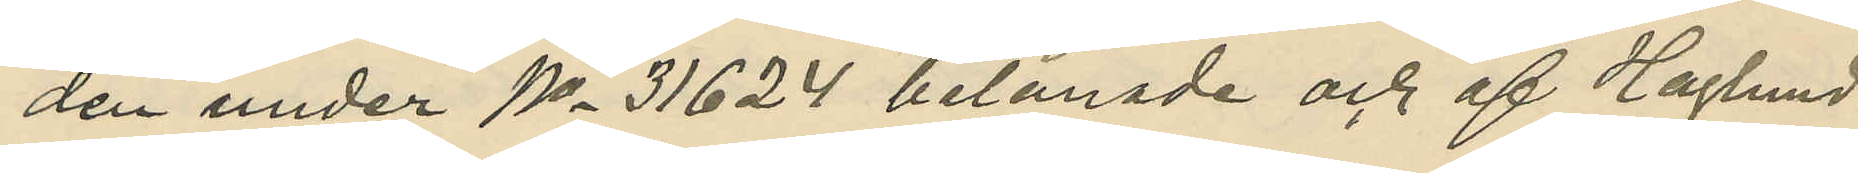den under No 31624 belånade och af Haglund
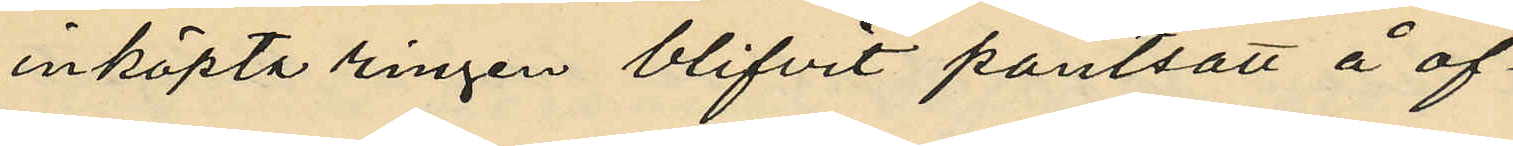inköpta ringen blifvit pantsatt å of¬
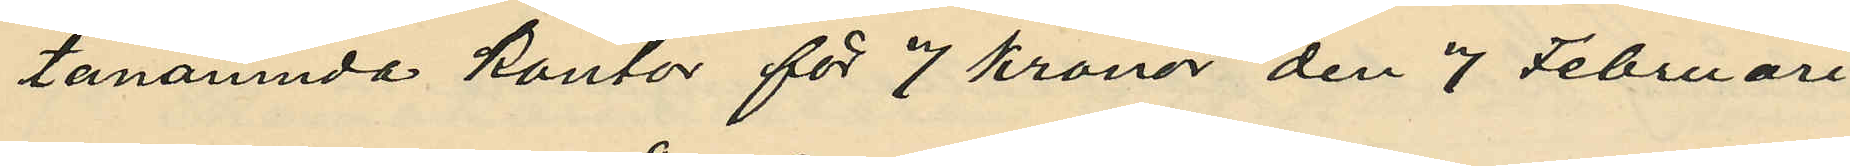tanämnda kontor för 7 kronor den 7 Februari
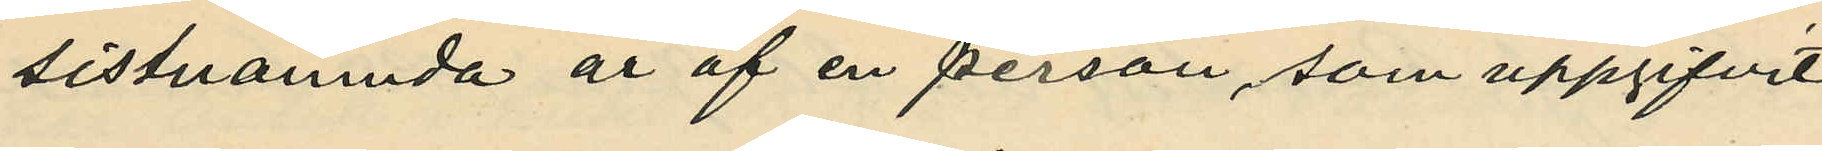sistnämnda år af en person, som uppgifvit
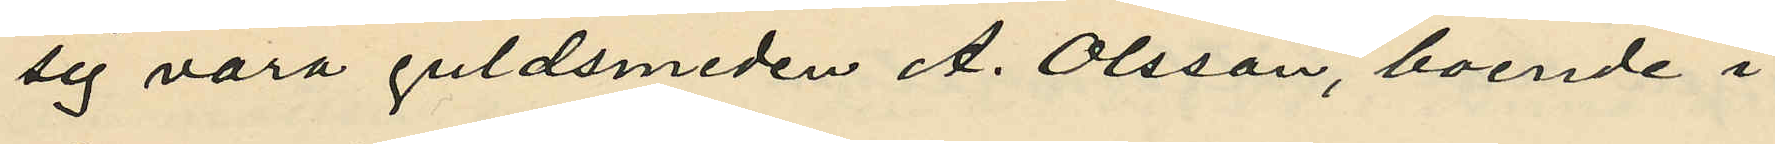sig vara guldsmeden A. Olsson, boende i
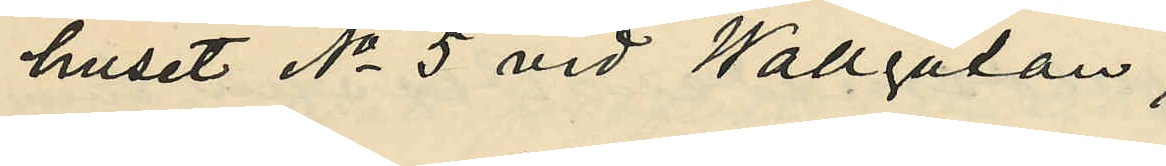huset No 5 vid Wallgatan;
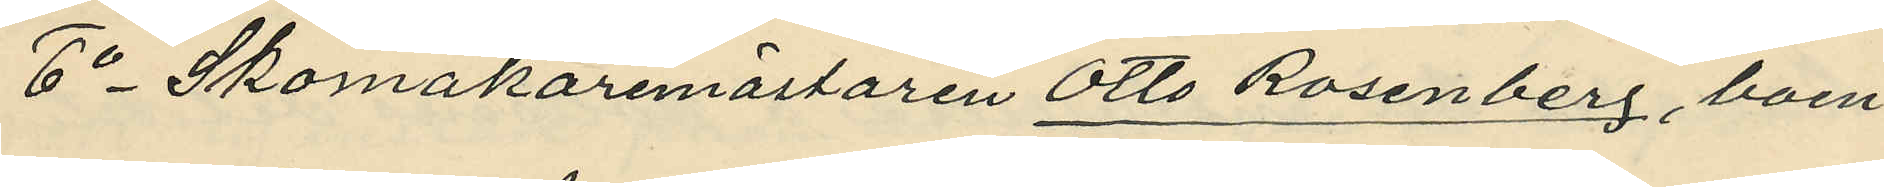6o Skomakaremästaren Otto Rosenberg, boen¬
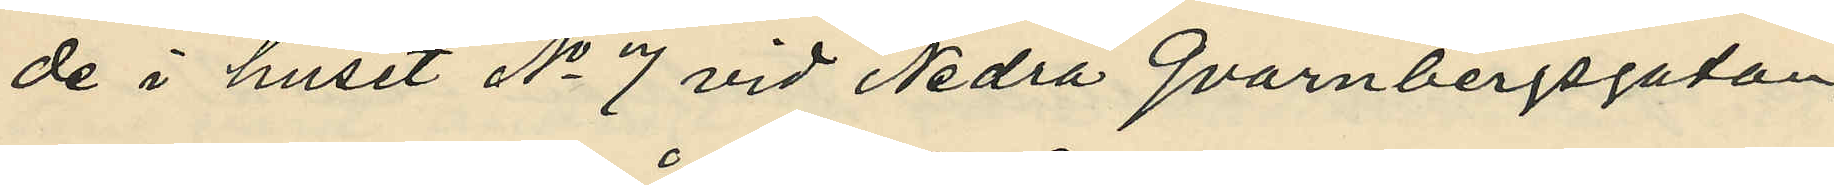de i huset No 7 vid Nedra Qvarnbergsgatan,
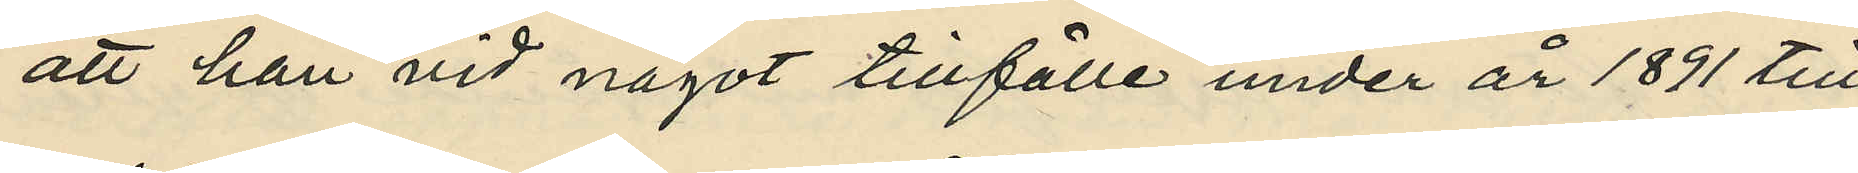att han vid något tillfälle under år 1891 till
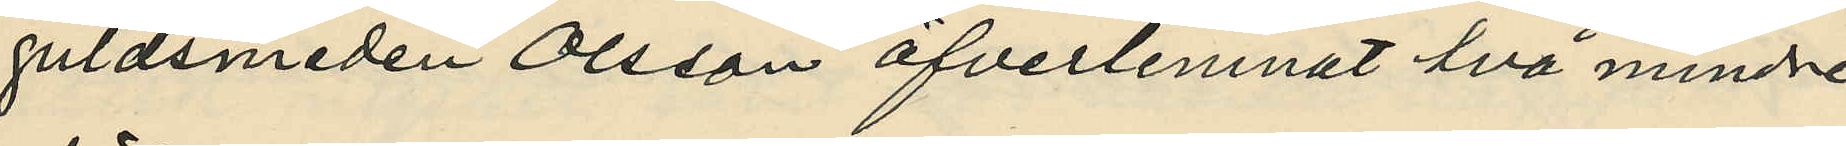guldsmeden Olsson öfverlemnat två mindre
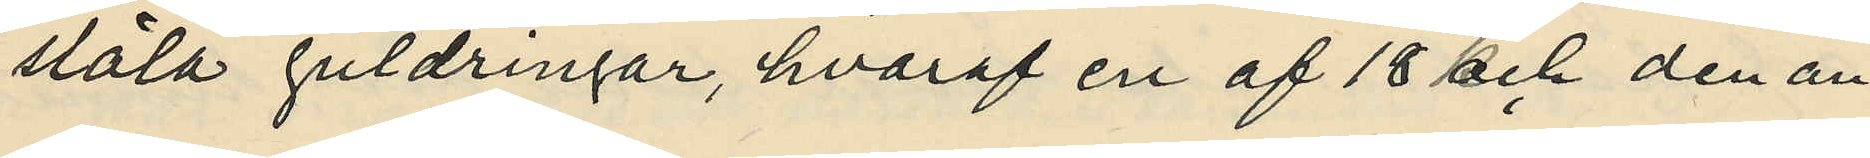släla guldringar, hvaraf en af 18 och den an¬
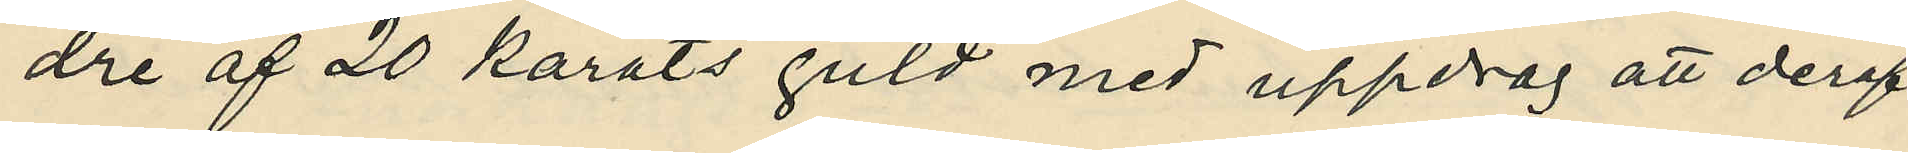dre af 20 karats guld med uppdrag att deraf
